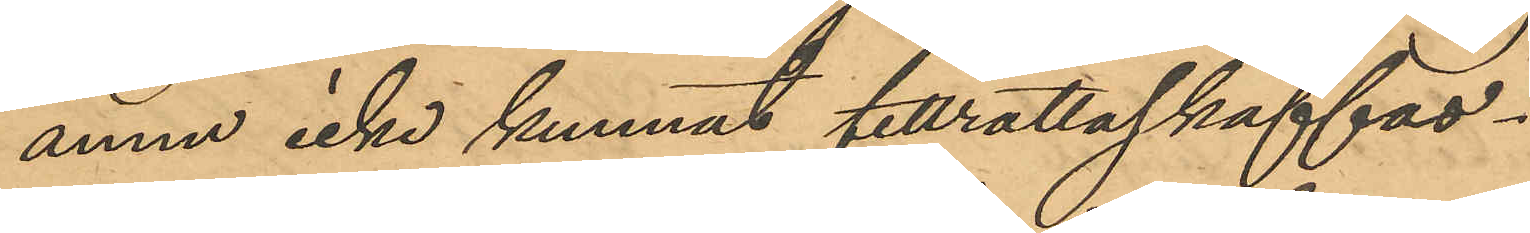ännu icke kunnat tillrättaskaffas.
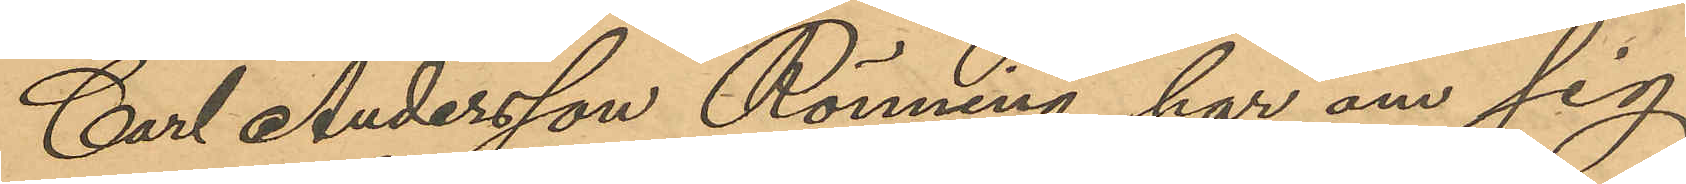Carl Andersson Rönning har om sig
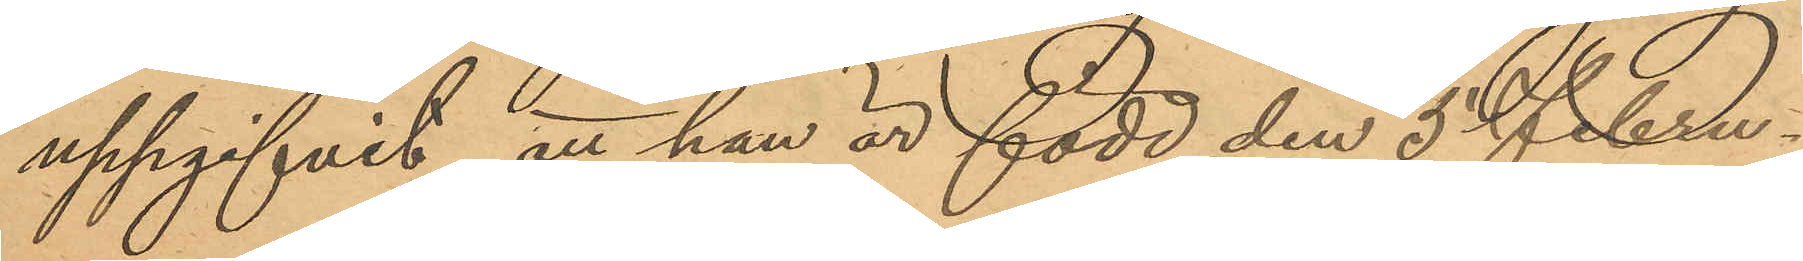uppgifvit, att han är född den 5 Febru¬
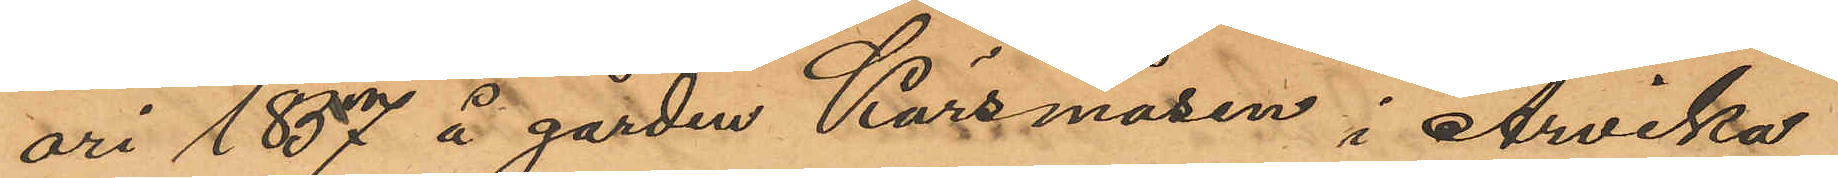ari 1857 å gården Kärsmåsen i Arvika
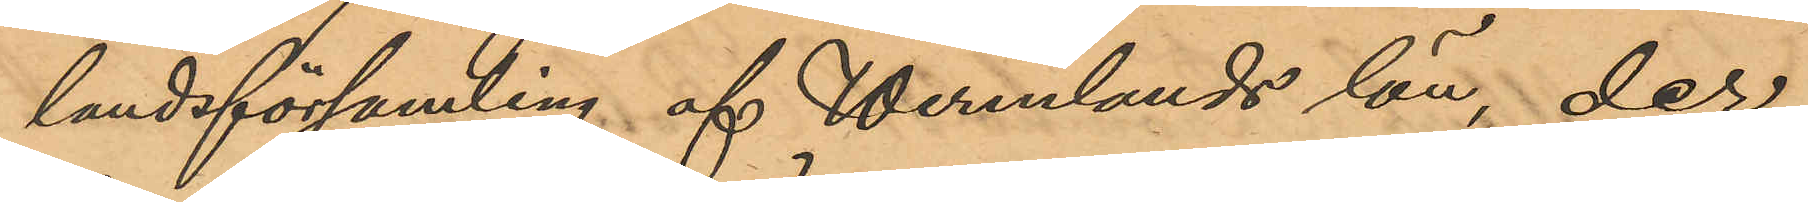landsförsamling af Wermlands län, der
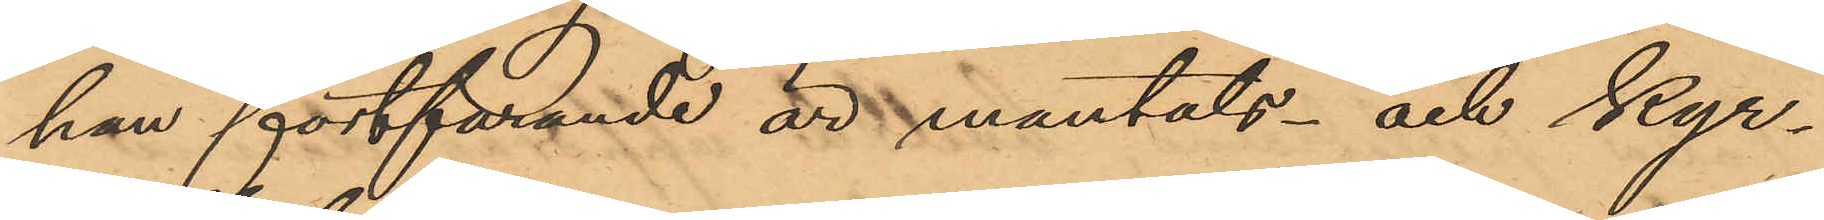han fortfarande är mantals- och kyr¬
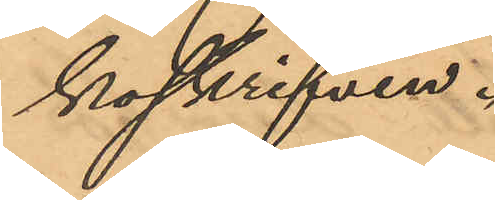koskrifven.
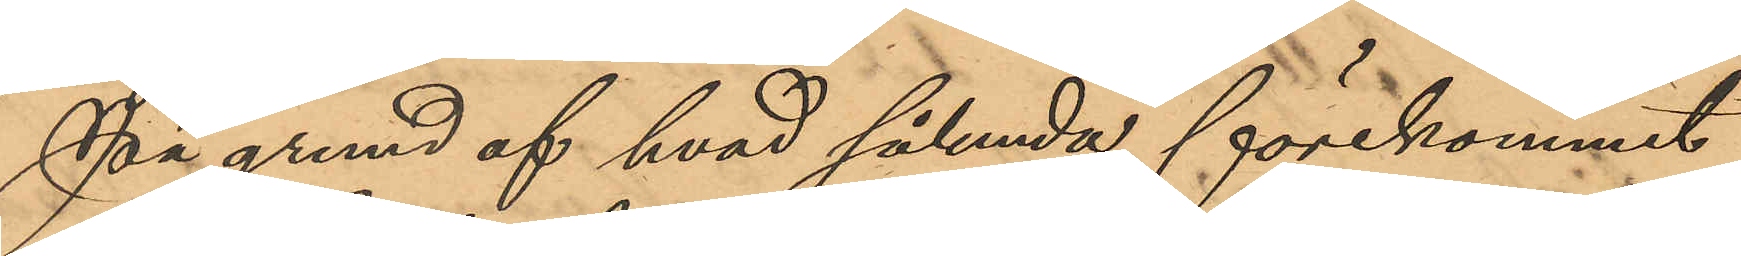På grund af hvad sålunda förekommit
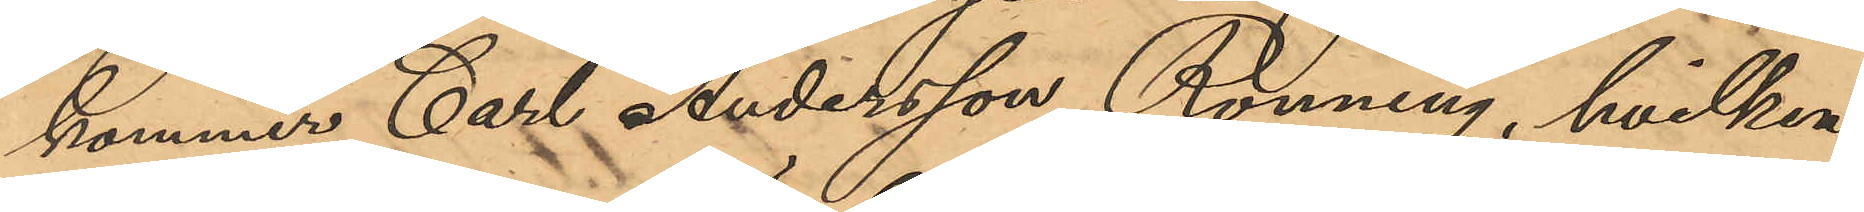kommer Carl Andersson Rönning, hvilken
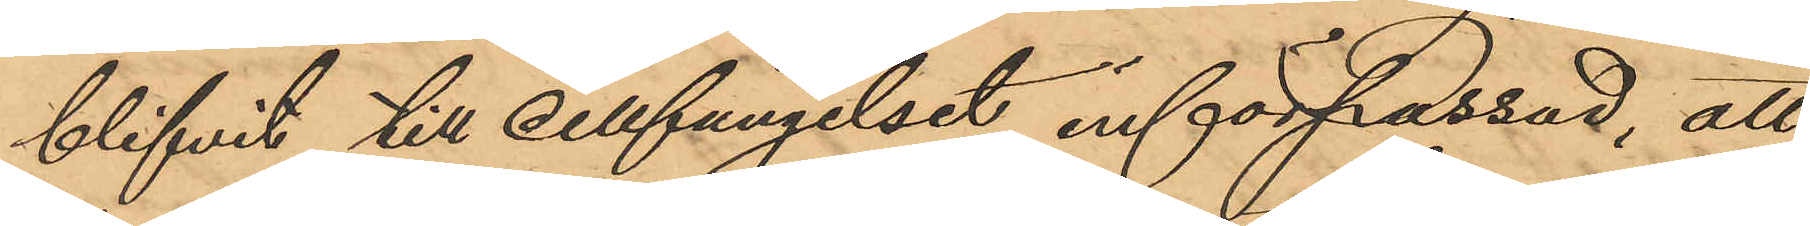blifvit till cellfängelset införpassad; att
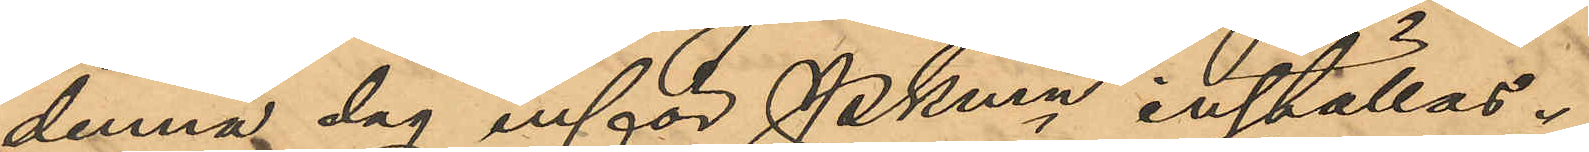denna dag inför PKmn inställas.
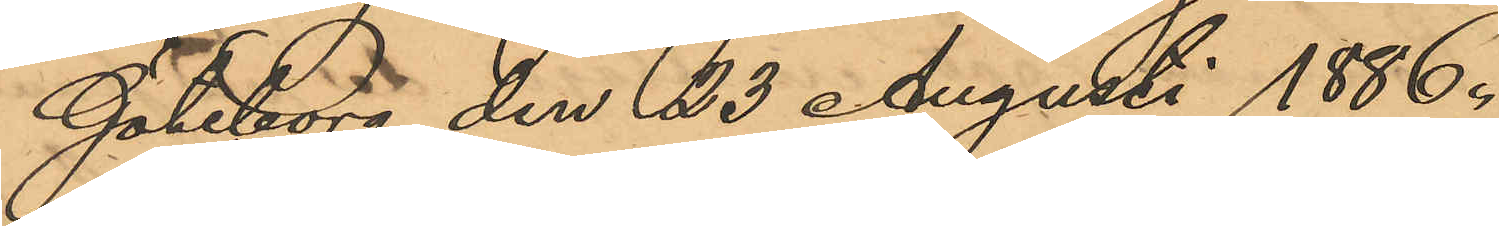Göteborg den 23 Augusti 1886.
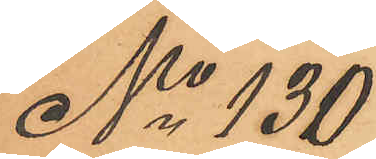No 130
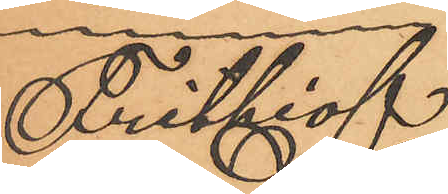Frithiof
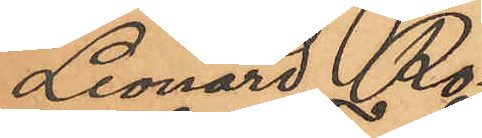Leonard Ro¬
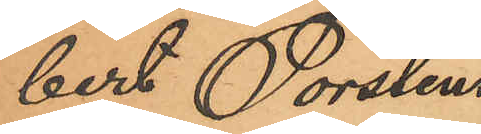bert Torstens¬
